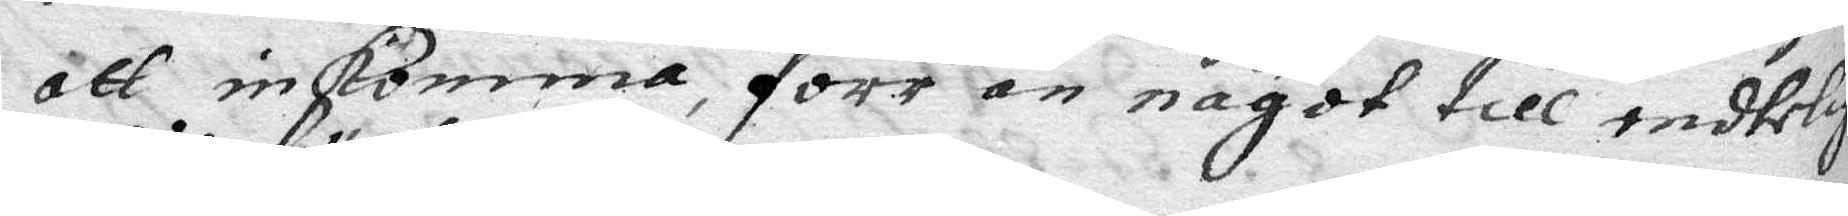att inkomma förr än något till endtelig
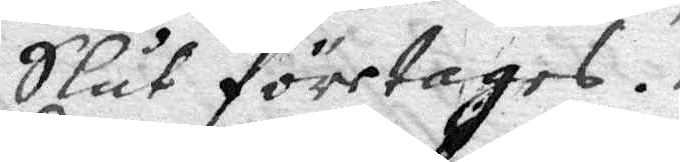Slut företages.
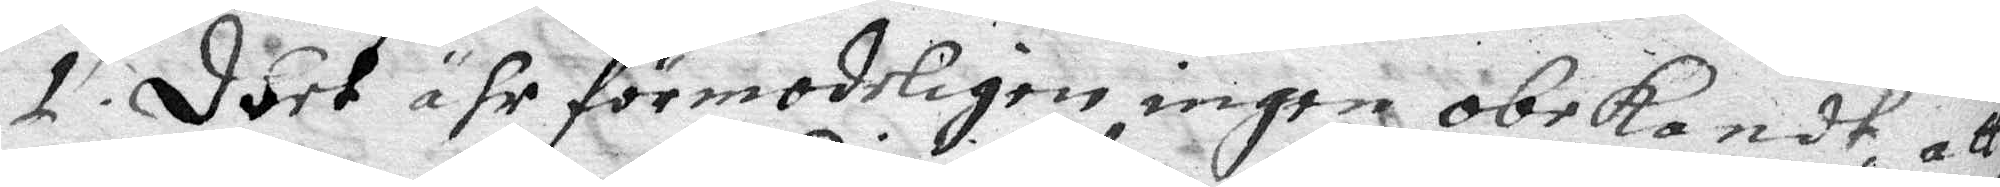1. Deet ähr förmodeligen ingen obekandt, att
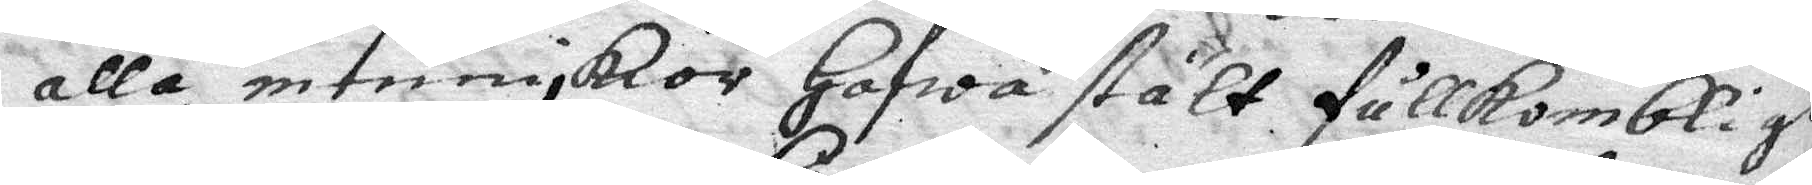alla menniskor hafwa stält fullkombligh
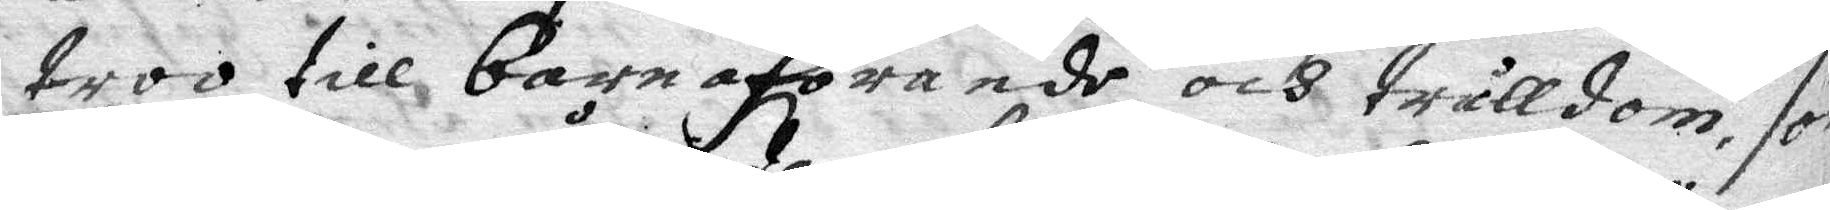troo till barnaförande och trålldom, som
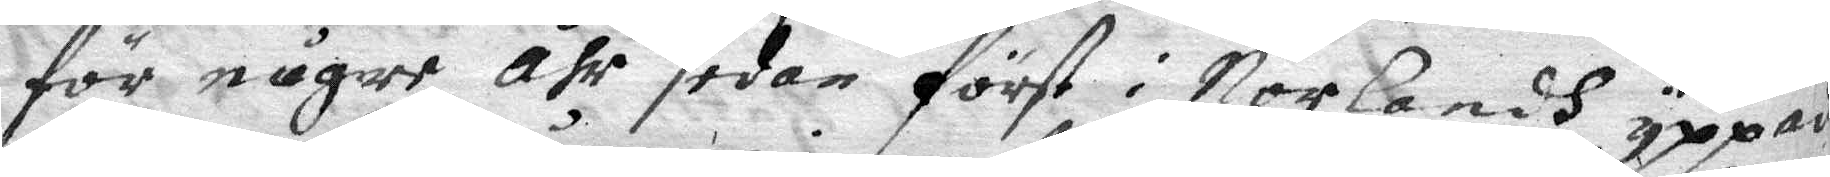för något åhr sedan först i Norlandh yppades
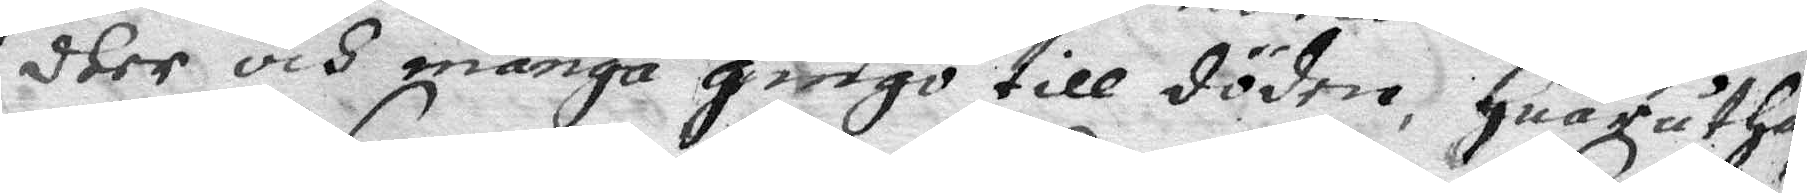dher och många gingo till döden, huaruthaf
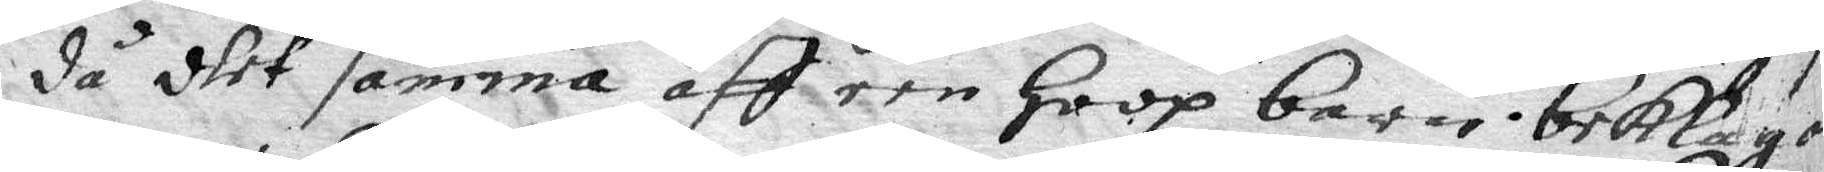då dhet samma aff een hoop barn beklaga
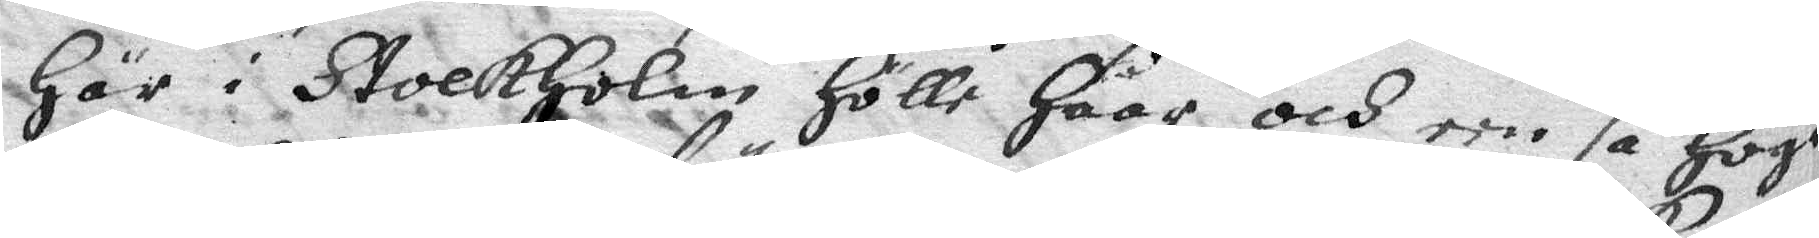här i Strokholm hölle häär och een så hög
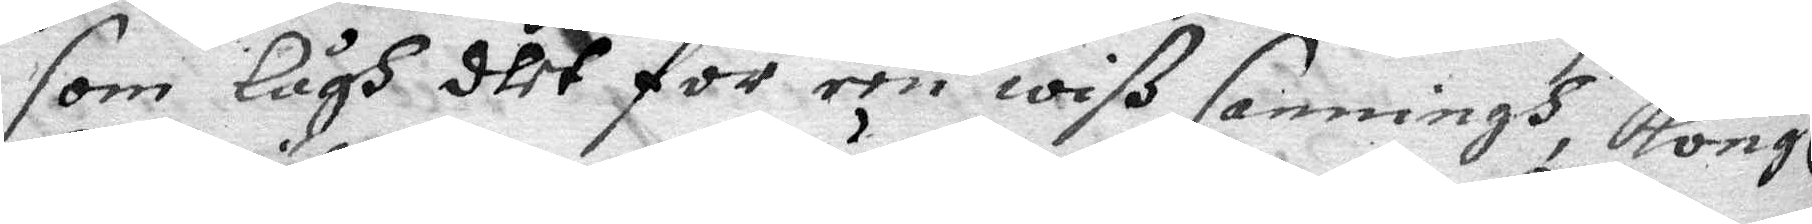som lågh dhet för een wiß sanningh, Kongl
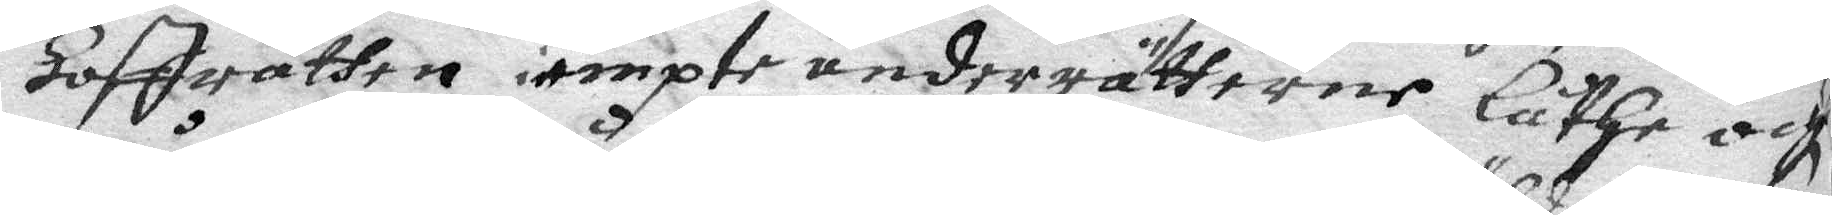hoffrätten iempte underrätterne låthe och
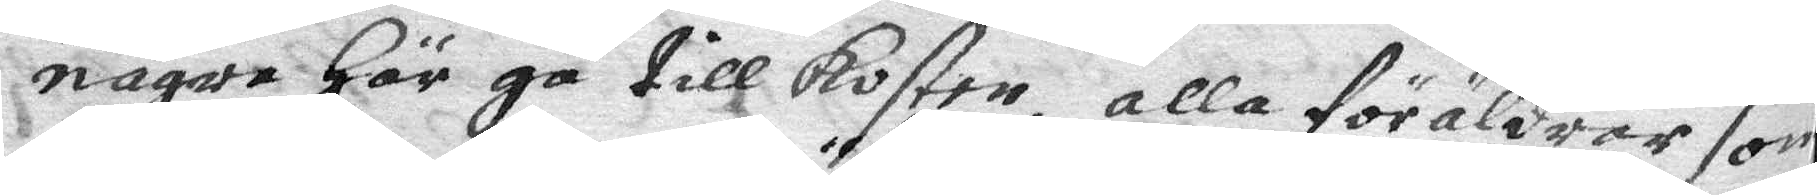någre här gå till kosten, alla föräldrar som
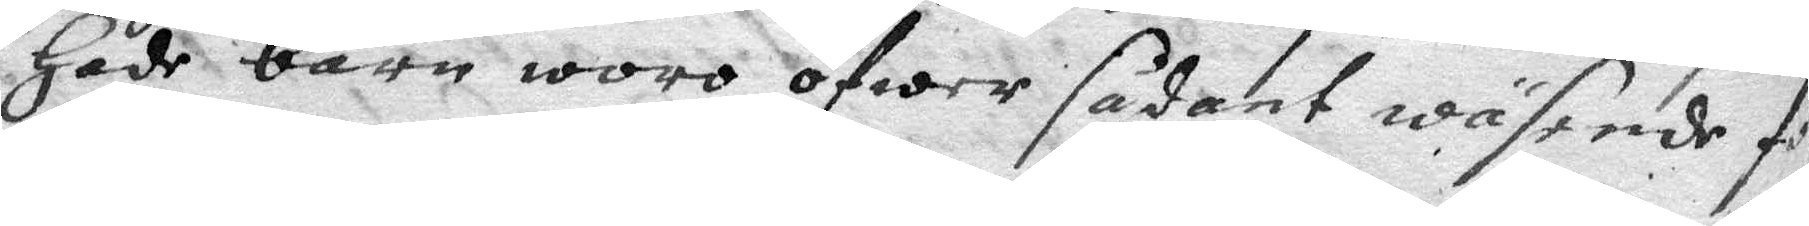hade barn woro öfwer sådant wäsende för¬
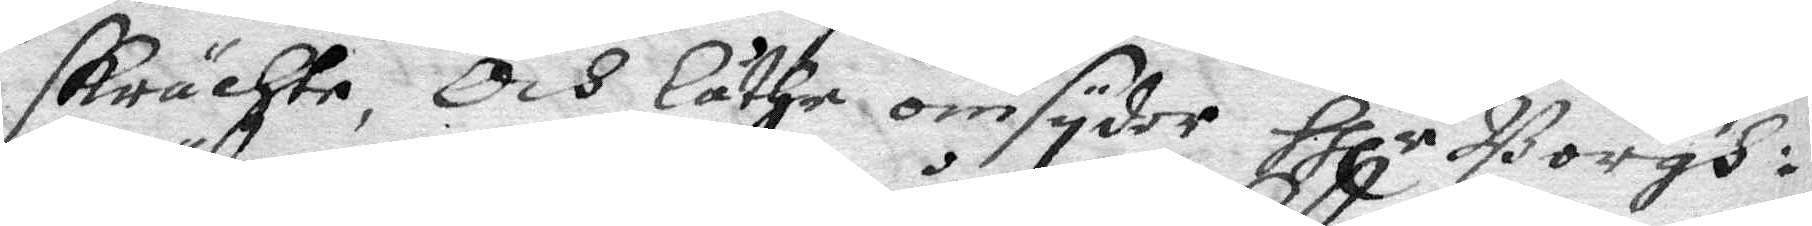skrächte, Och låthe omsyder Hllr Borgh¬
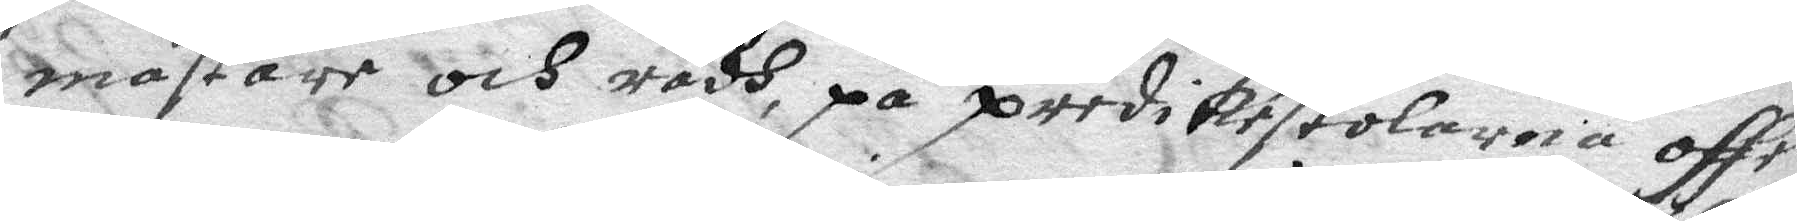mästare och rådh, på predikestolarna offe¬
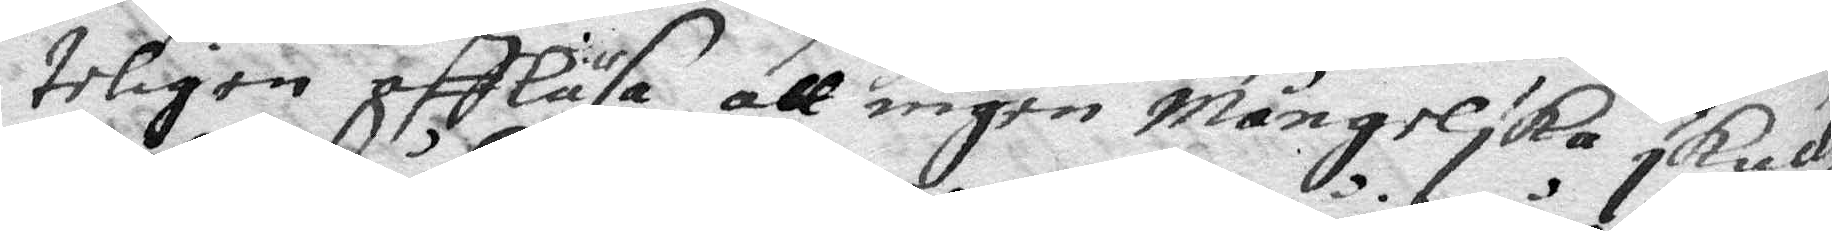teligen affläsa att ingen mångelska skulle
